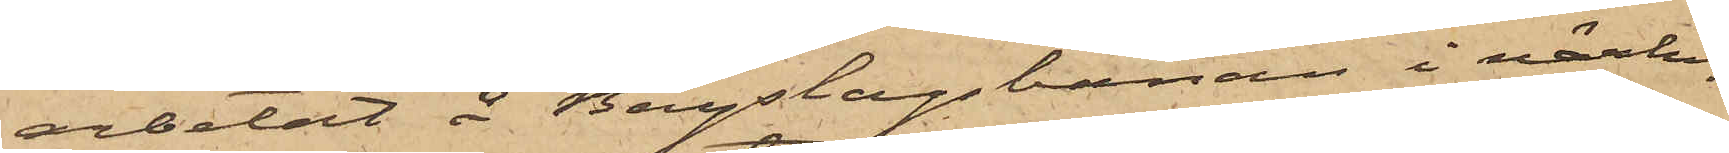arbetat å Bergslagsbanan i närhe¬
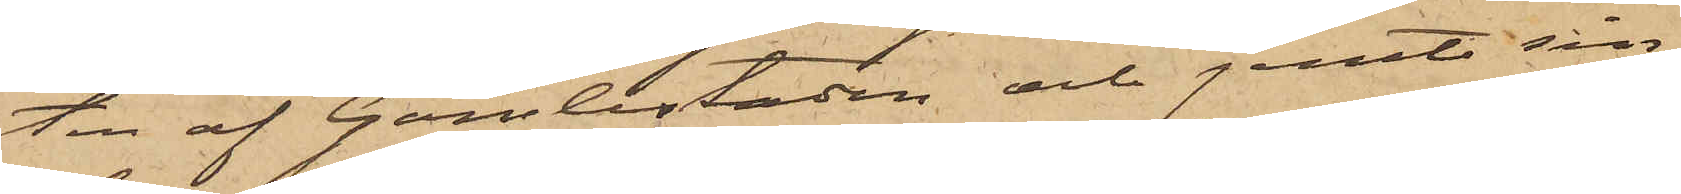ten af Gamlestaden och jemte sin
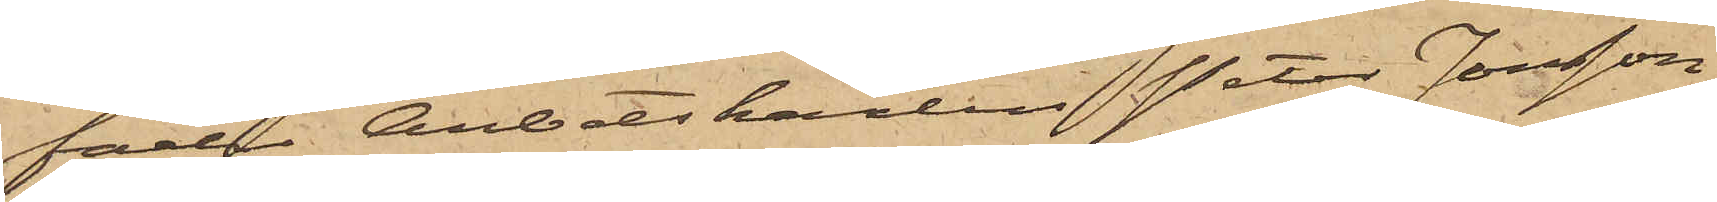fader Arbetskarlen Peter Jonsson
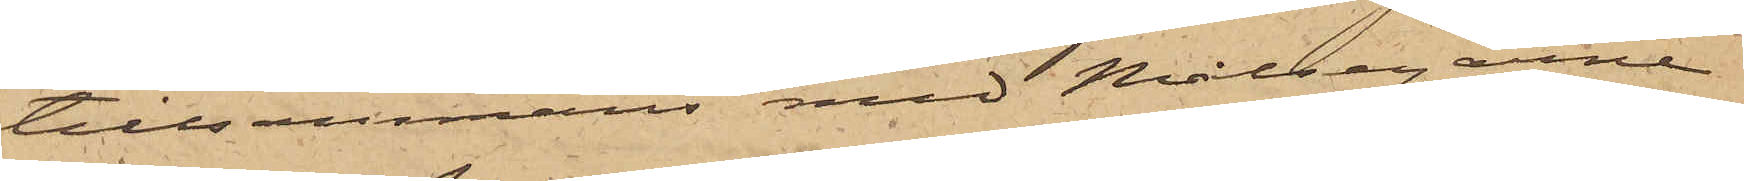tillsammans med Målsegarne
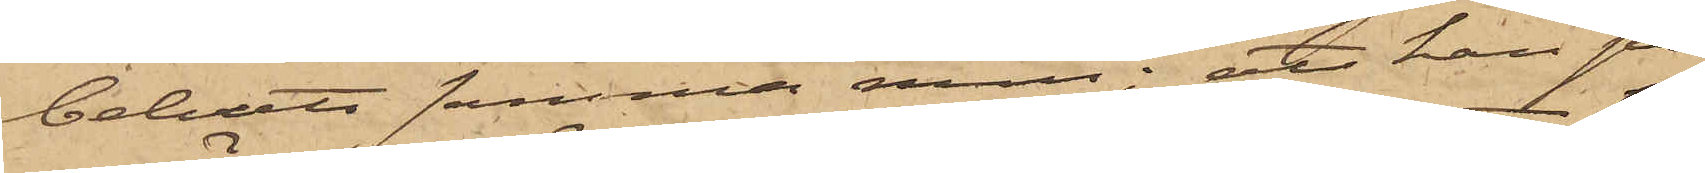bebott samma rum; att han på
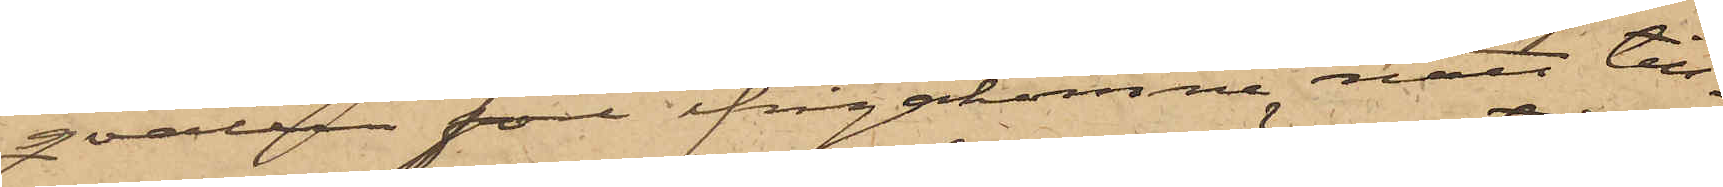qvällen före ifrågakomne natt till¬
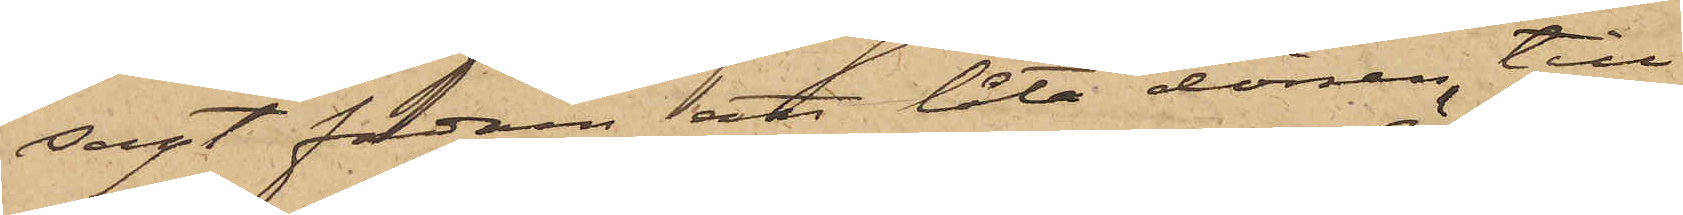sagt fadren att låta dörren till
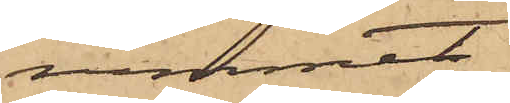rummet
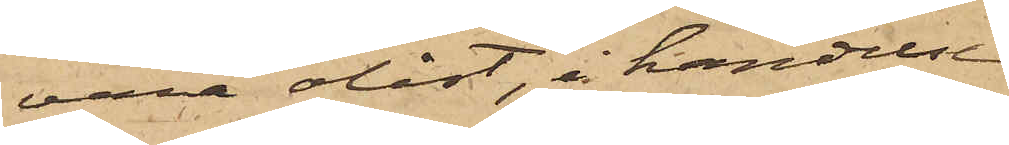vara olåst, i händelse
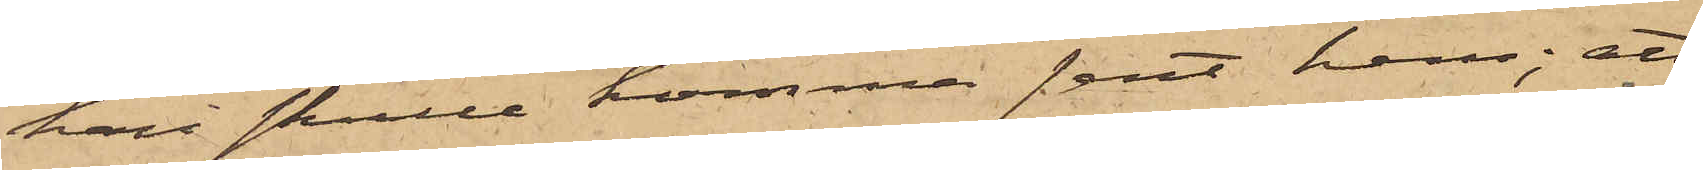han skulle komma sent hem; att
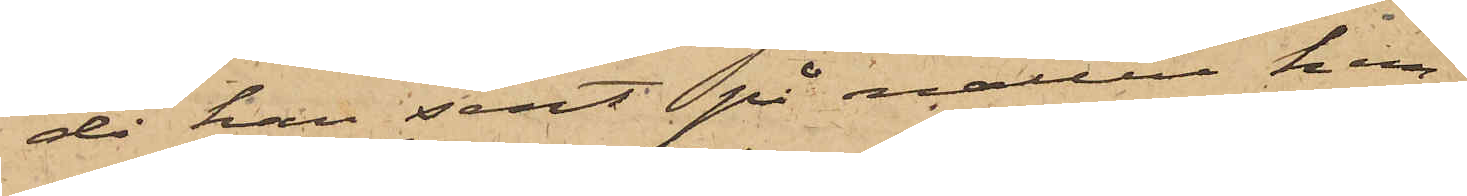då han sent på natten hem¬
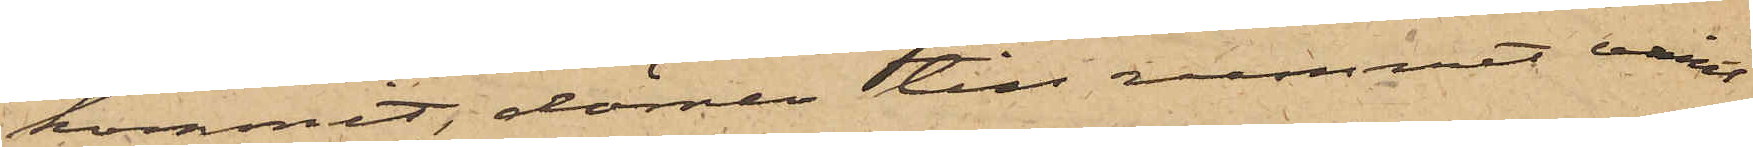kommit, dörren till rummet varit
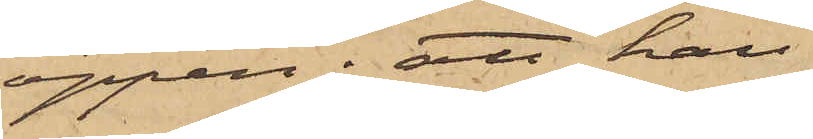öppen; att han,
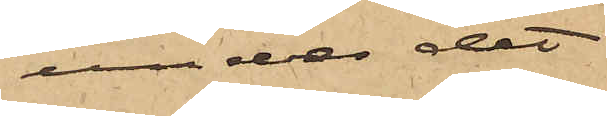under det
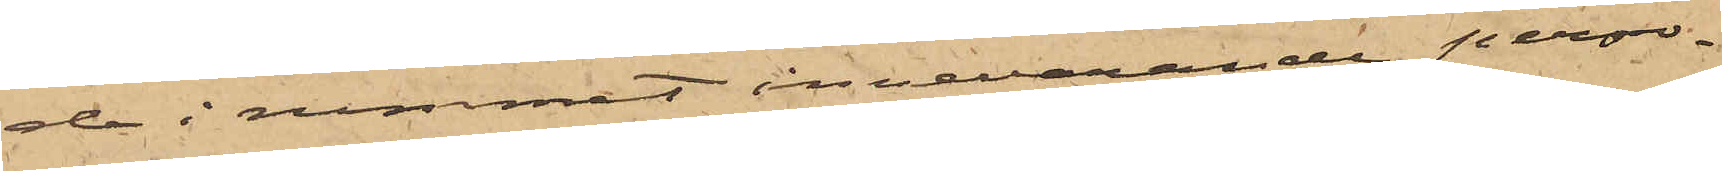de i rummet innevarande perso¬
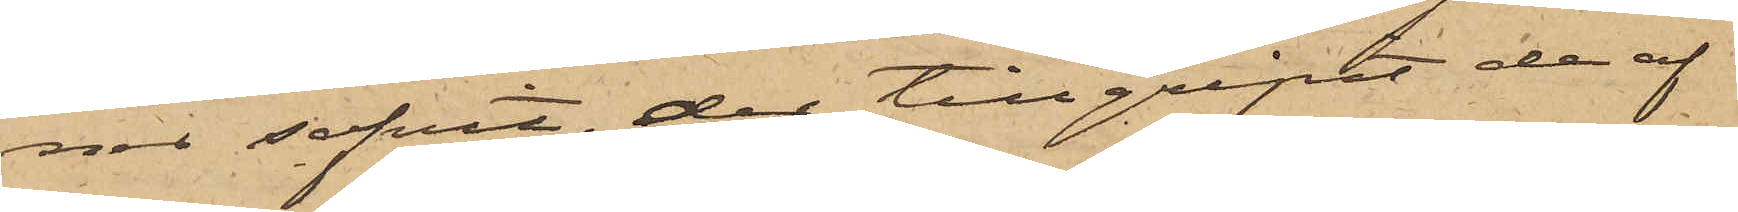ner sofvit, der tillgripit de af
